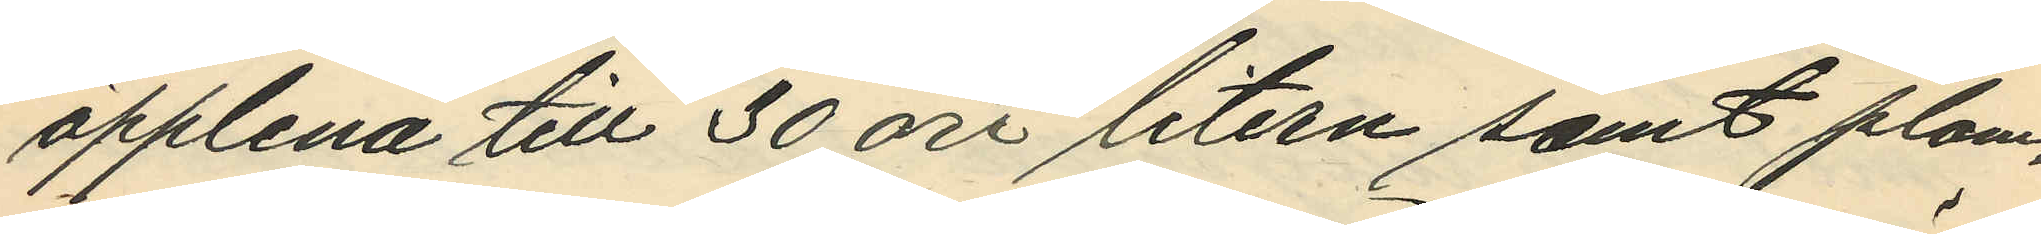äpplena till 30 öre litern samt plom¬
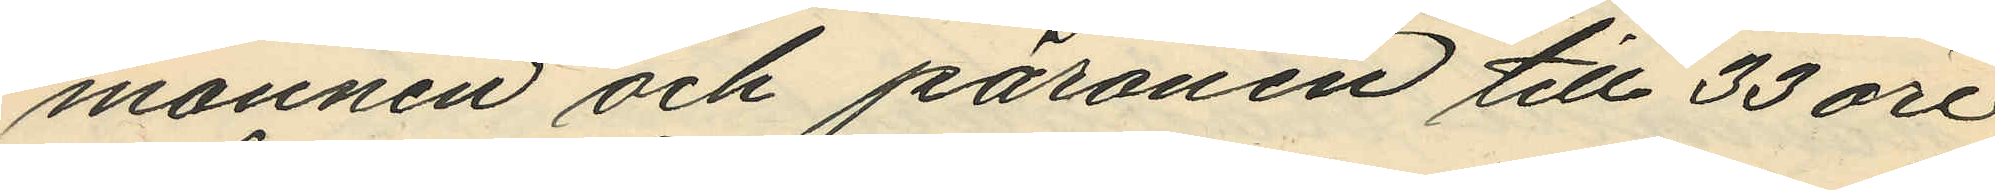monnen och päronen till 33 öre
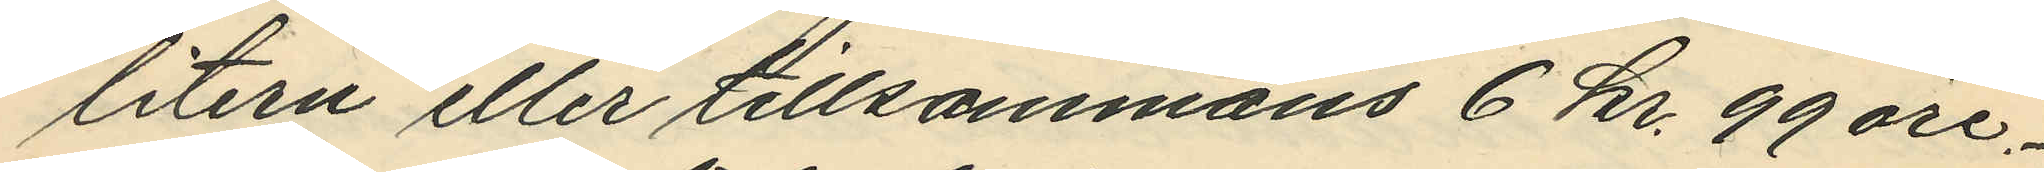litern eller tillsammans 6 kr. 99 öre.
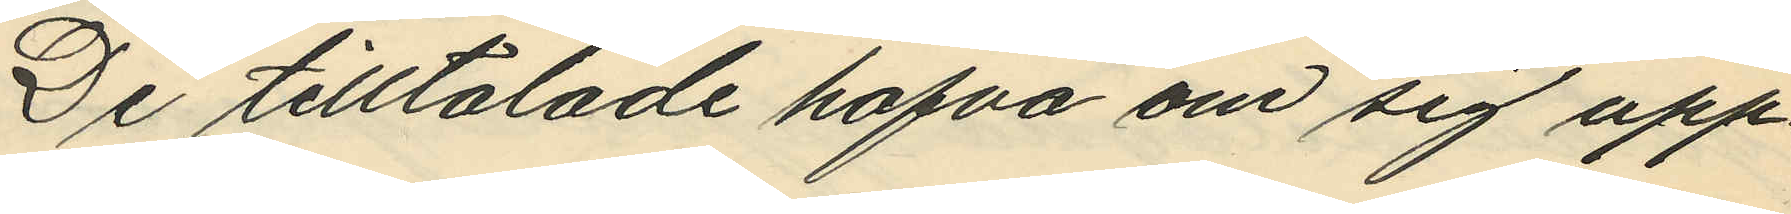De tilltalade hafva om sig upp¬
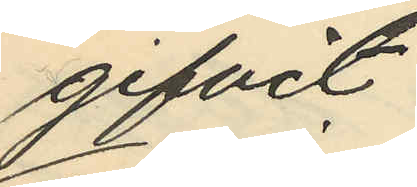gifvit:
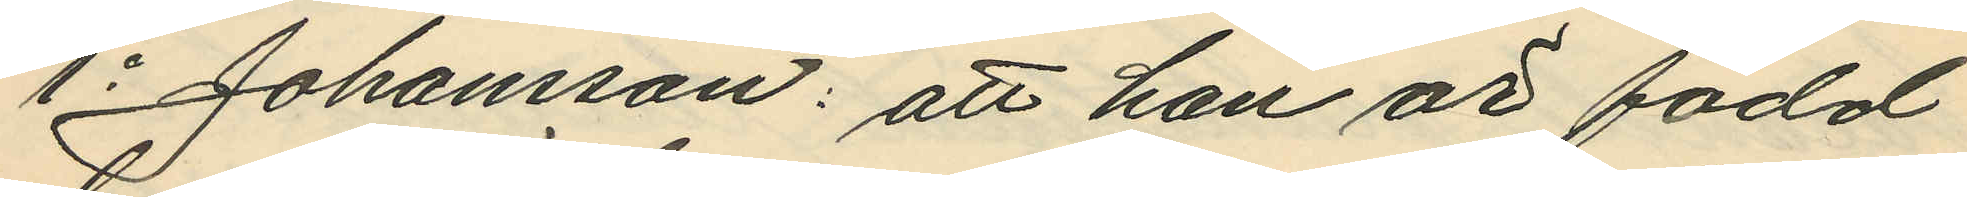1o Johansson: att han är född
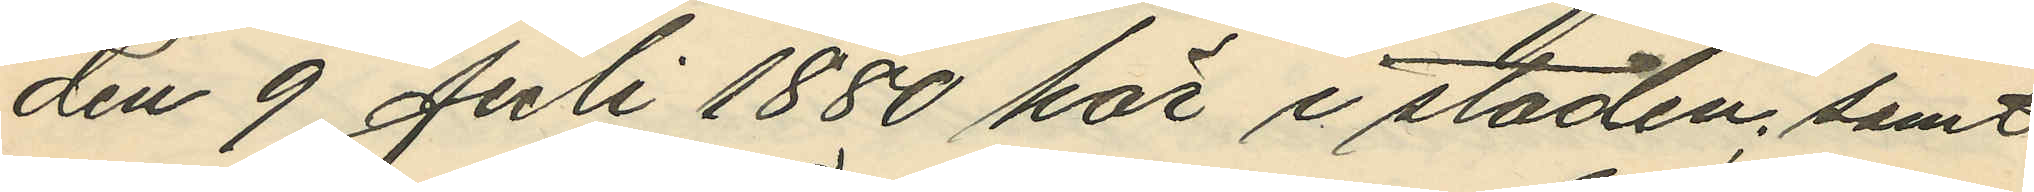den 9 Juli 1880 här i staden; samt
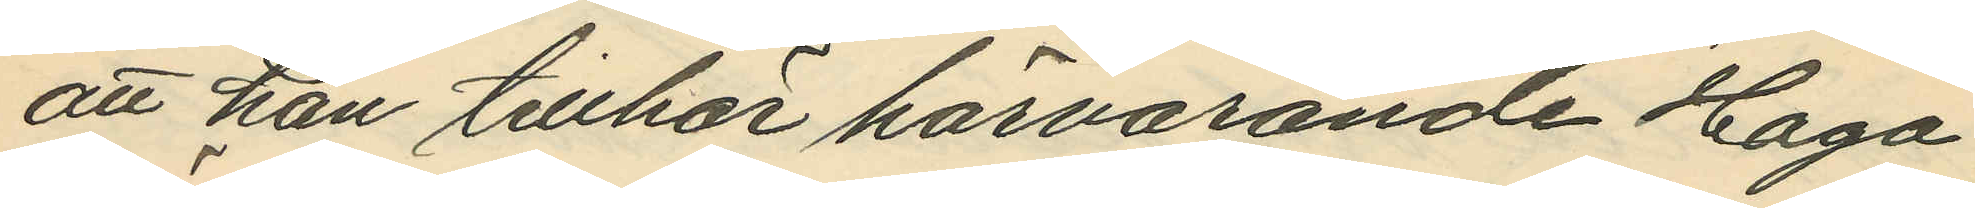att han tillhör härvarande Haga
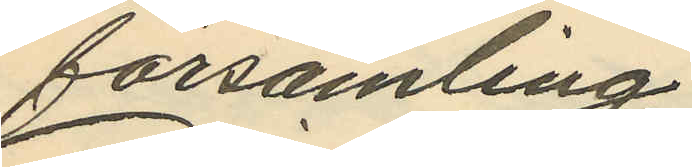församling;
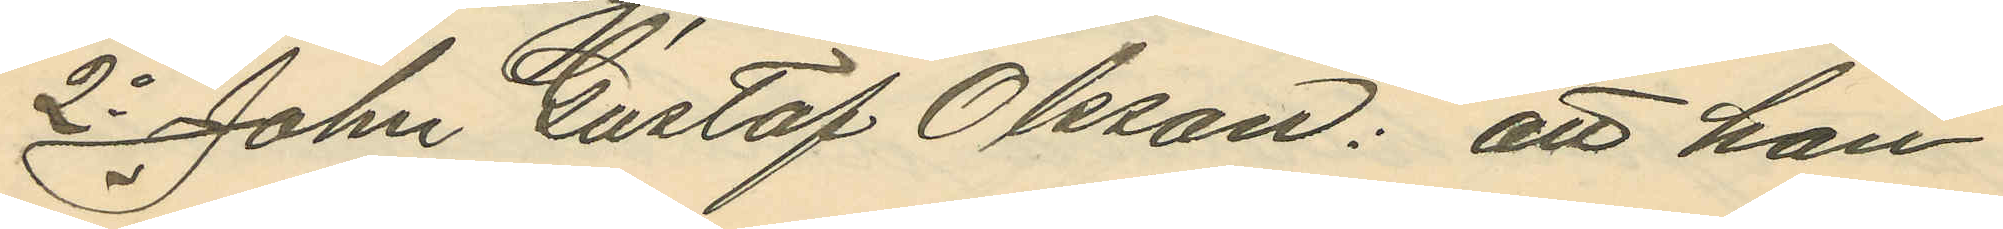2o John Gustaf Olsson: att han
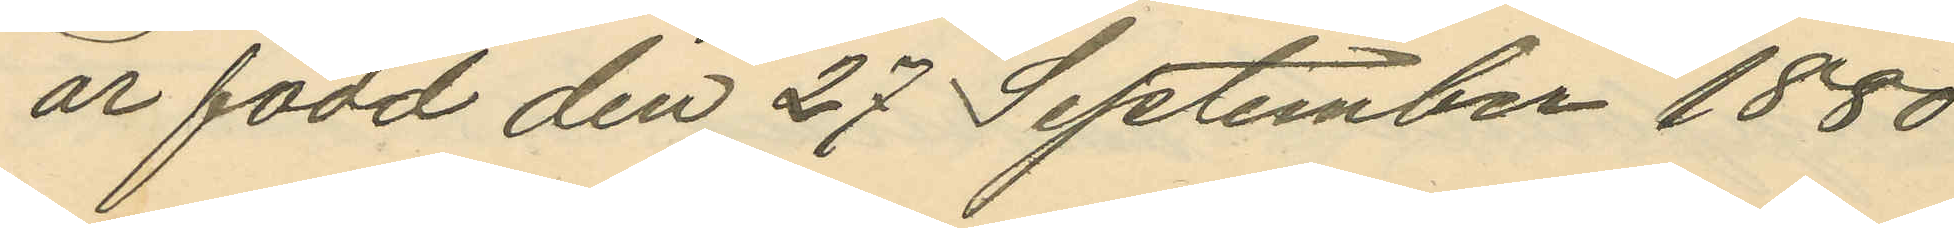är född den 27 September 1880
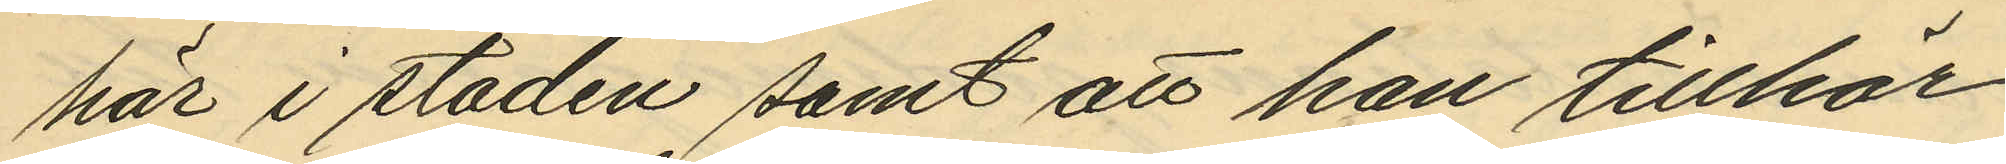här i staden samt att han tillhör
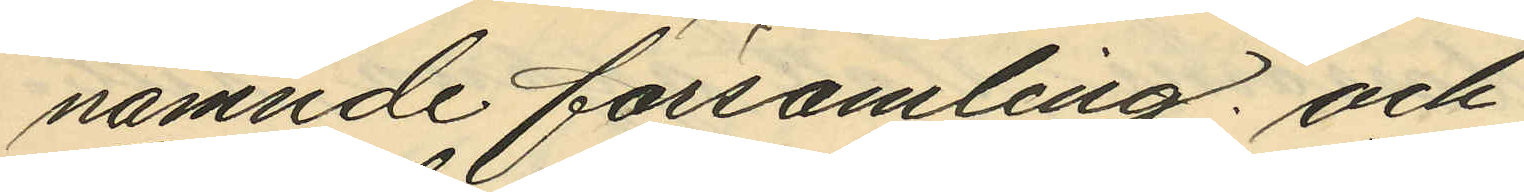nämnde församling; och
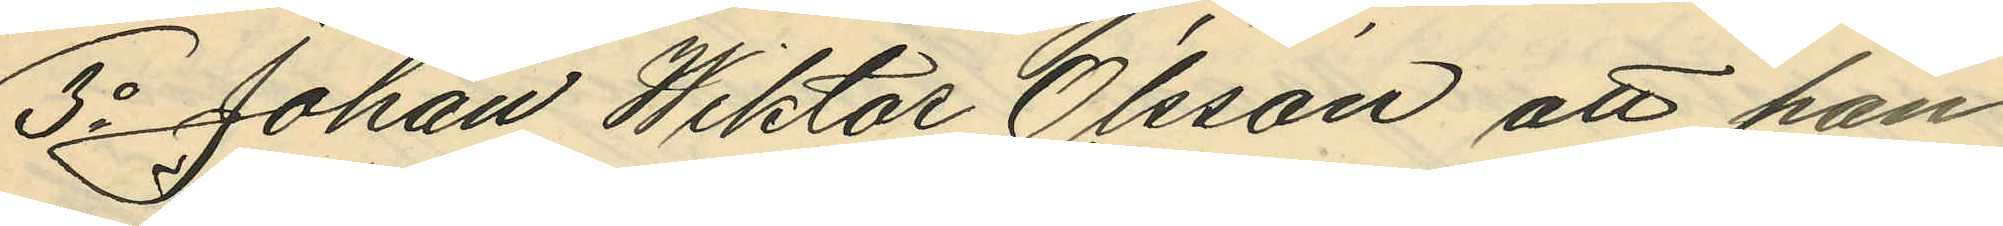3o Johan Wiktor Olsson att han
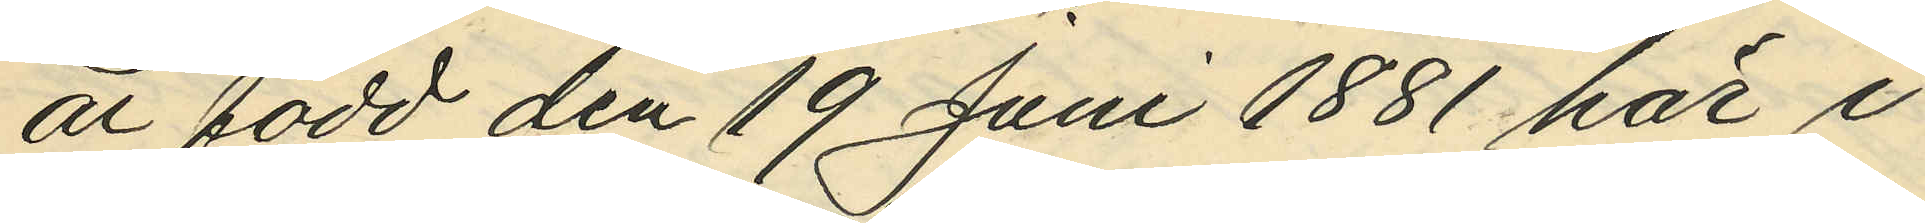är född den 19 Juni 1881 här i
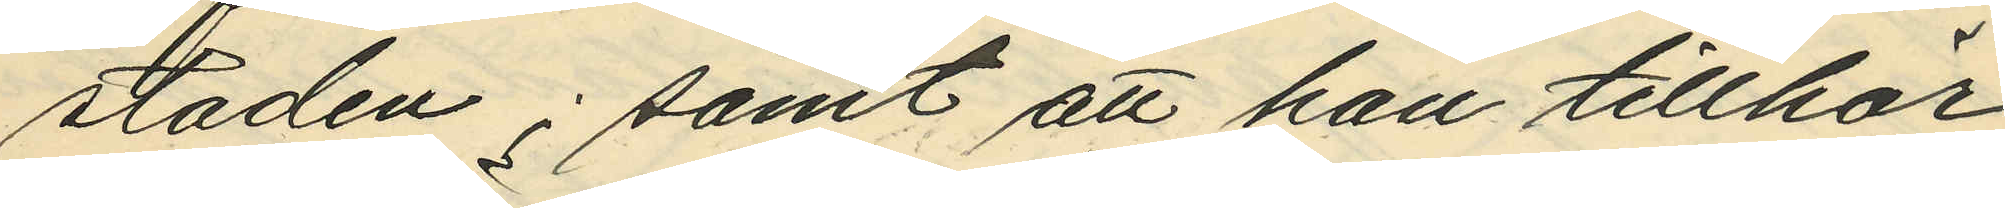staden; samt att han tillhör
